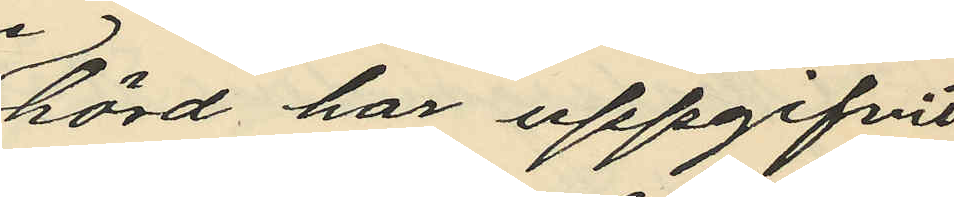hörd har uppgifvit,
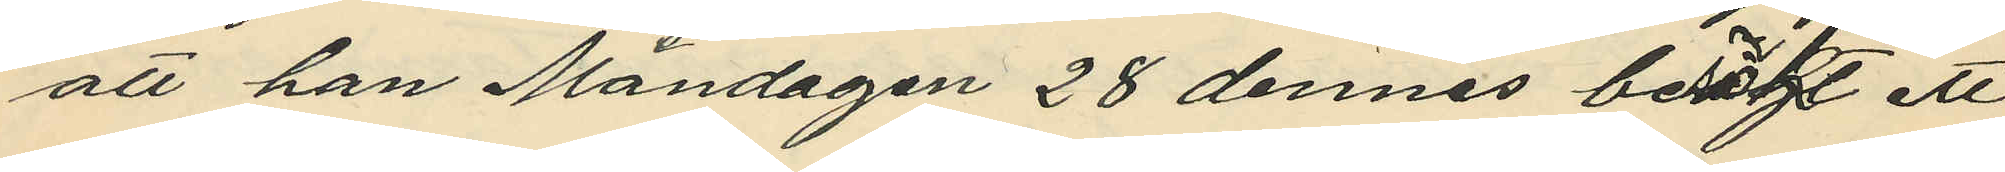att han Måndagen 28 dennes besökt ett
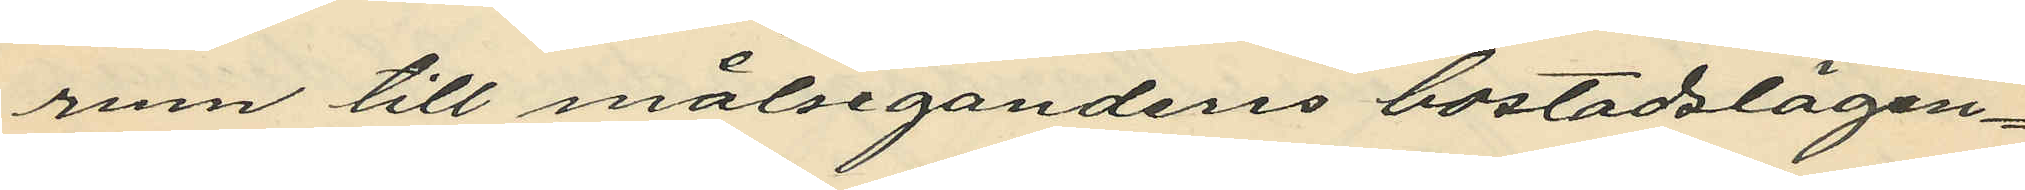rum till målsegandens bostadslägen¬
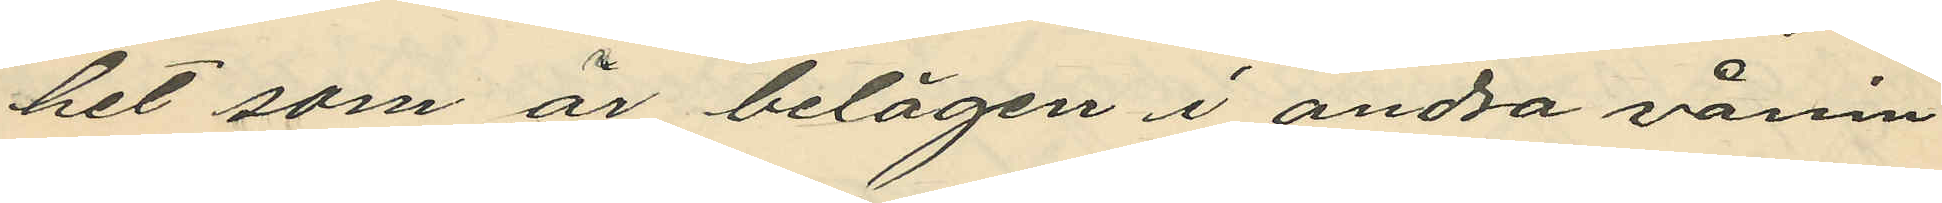het som är belägen i andra vånin
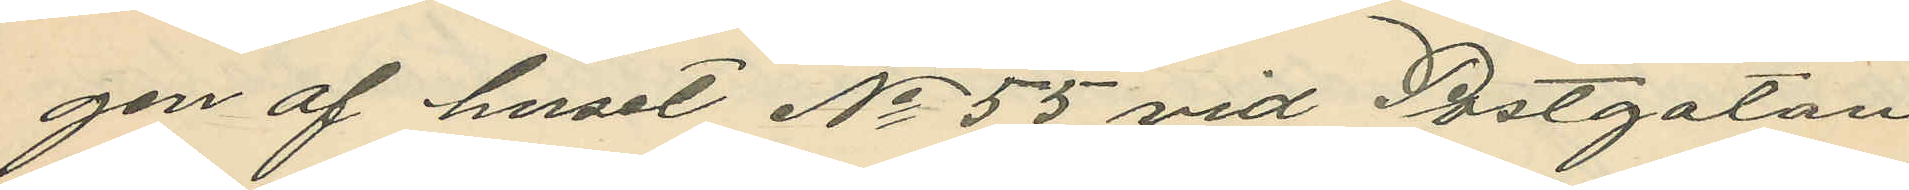gen af huset No 55 vid Postgatan
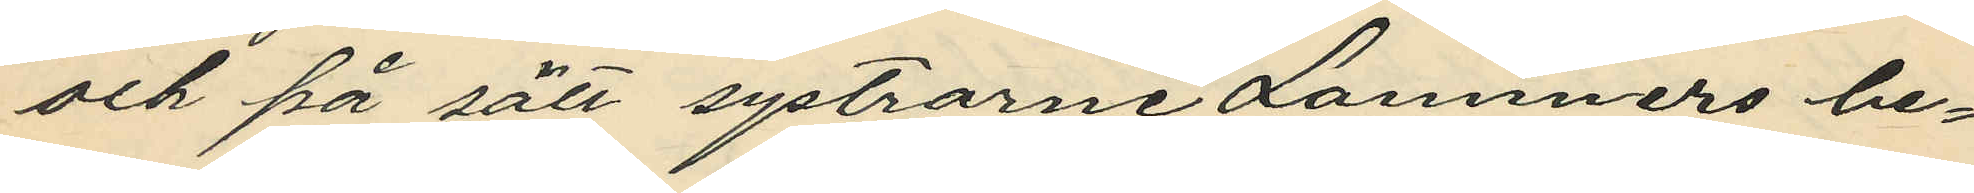och på sätt systrarne Lammers be¬
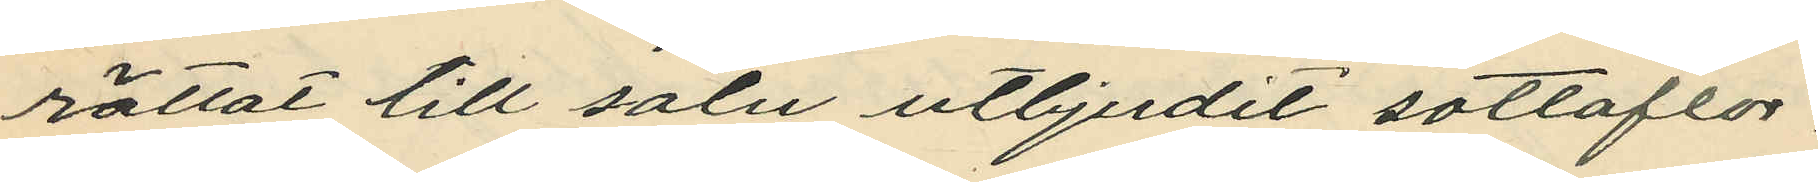rättat till salu utbjudit sottaflor,
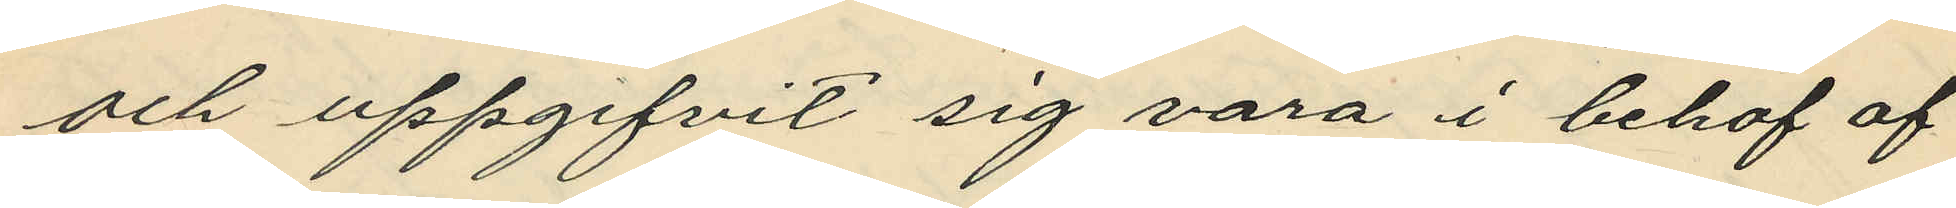och uppgifvit sig vara i behof af
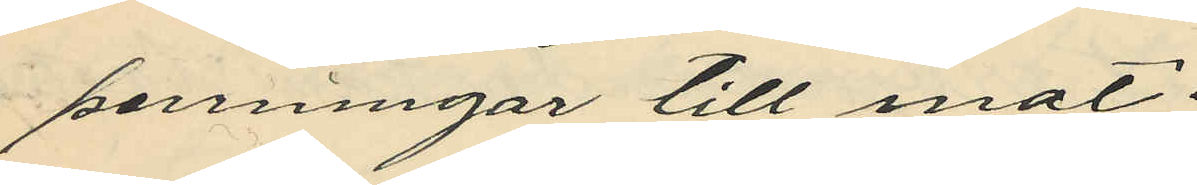penningar till mat;
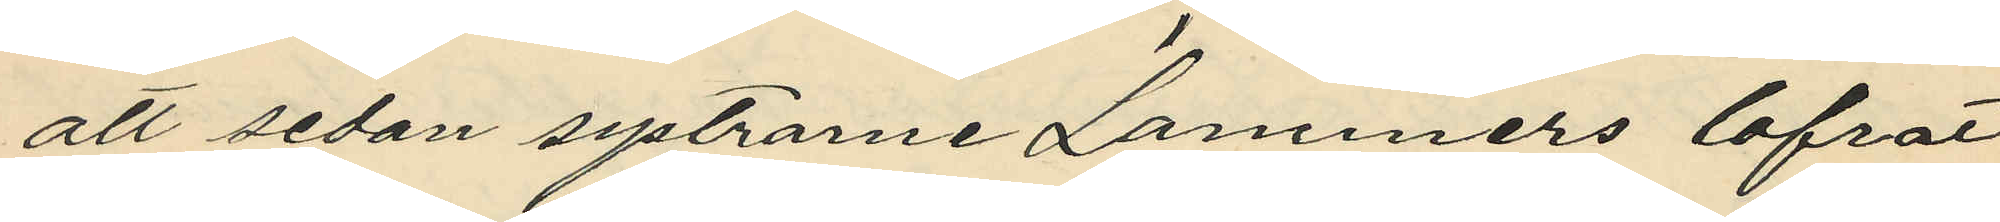att sedan systrarne Lammers lofrat
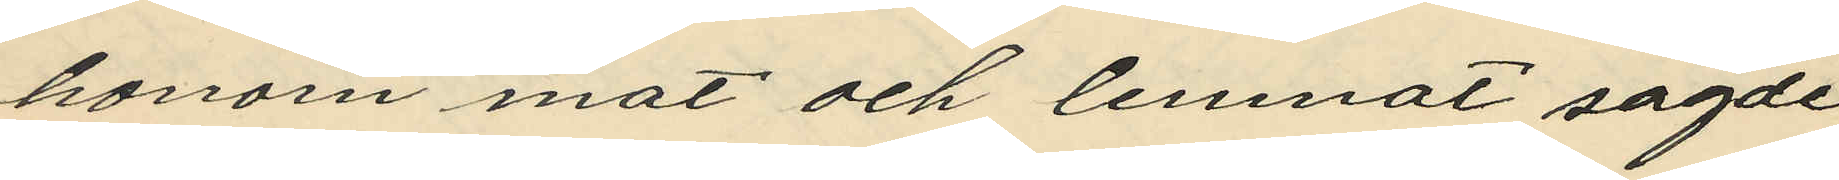honom mat och lemnat sagde
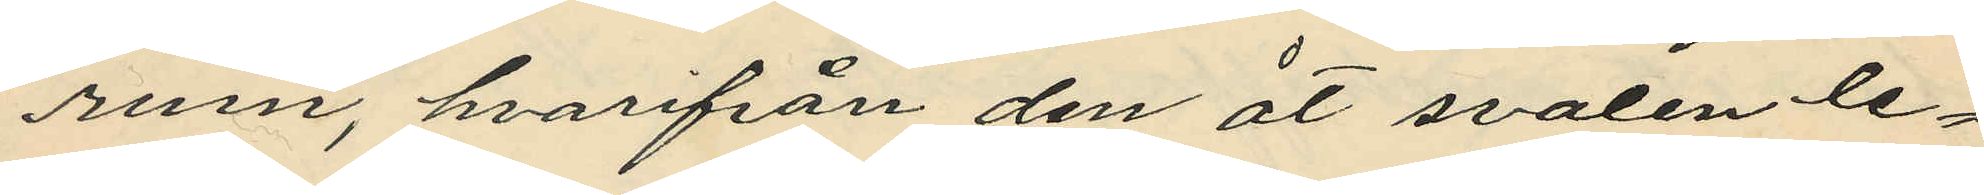rum, hvarifrån den åt svalen le¬
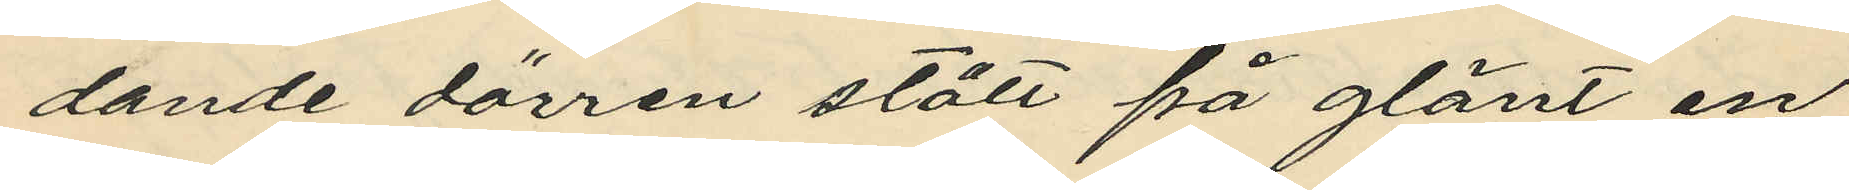dande dörren stått på glänt en
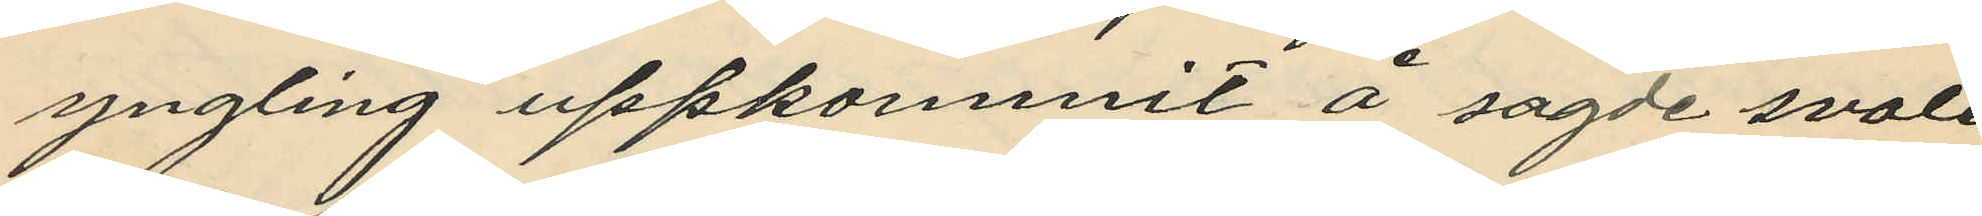yngling uppkommit å sagde svale
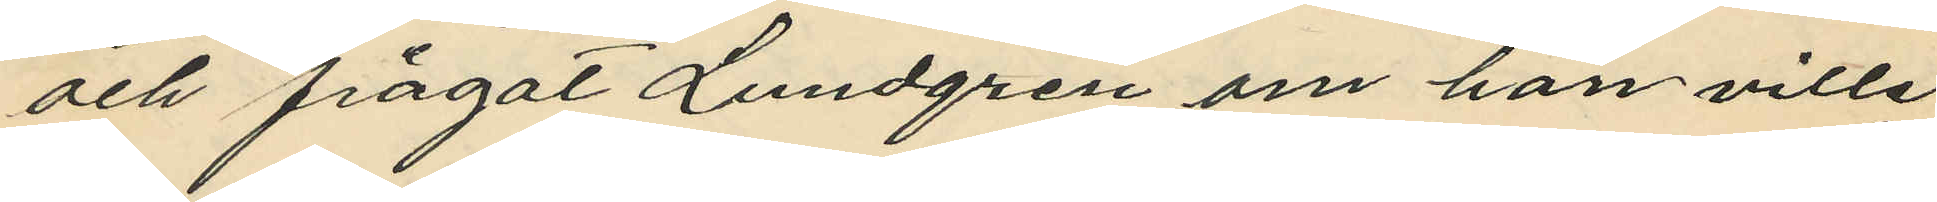och frågat Lundgren om han ville
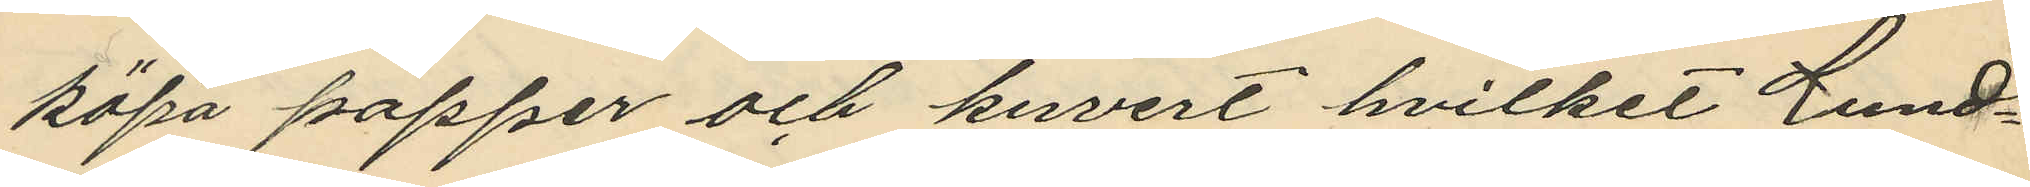köpa papper och kuvert hvilket Lund¬
